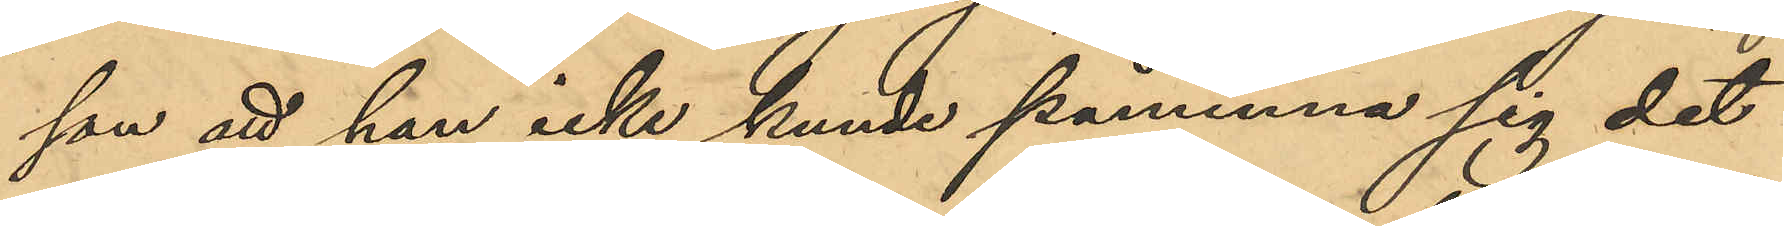son att han icke kunde påminna sig det
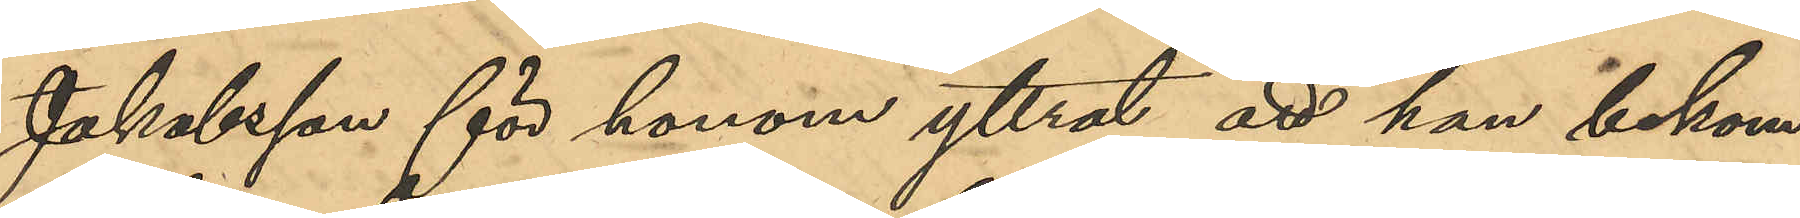Jakobsson för honom yttrat att han bekom¬
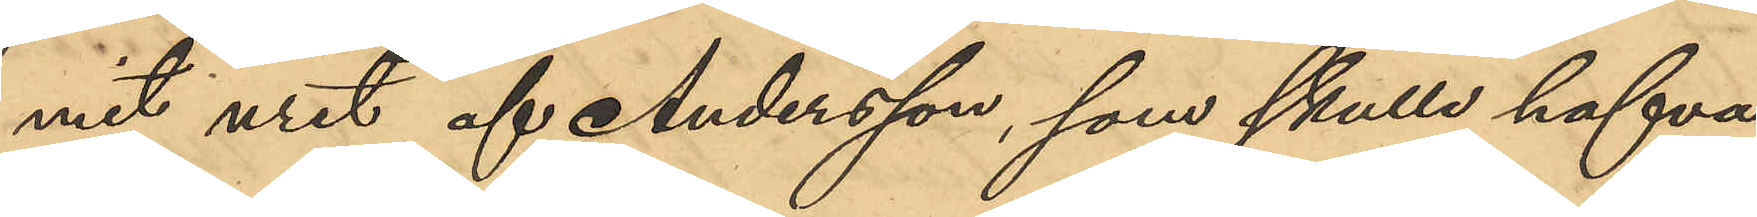mit uret af Andersson, som skulle hafva
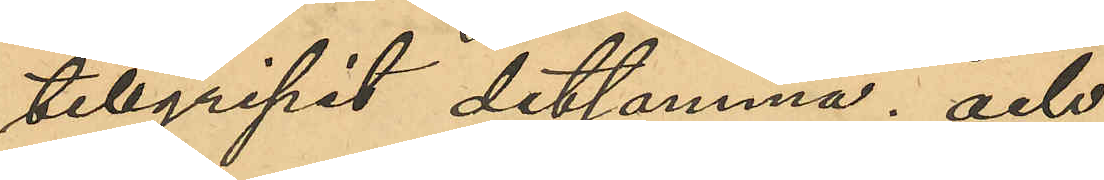tillgripit detsamma; och
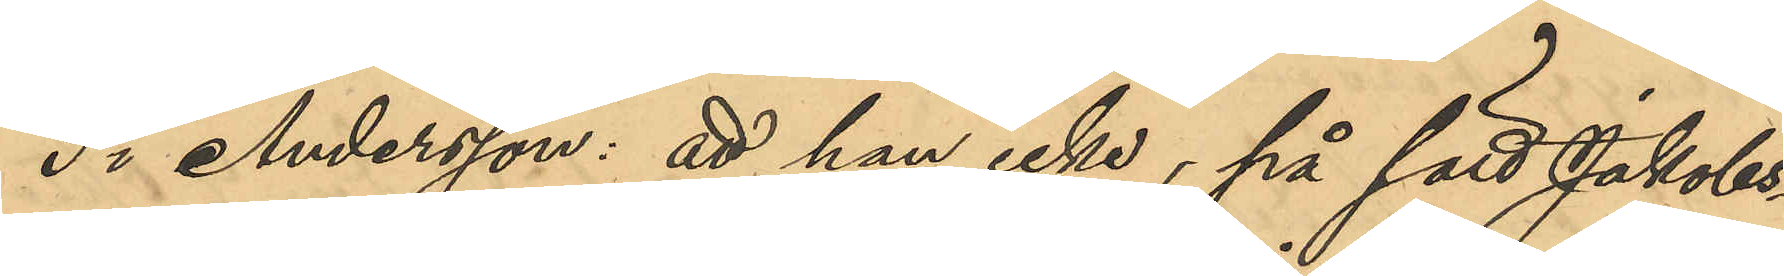3o Andersson: att han icke, på sätt Jakobs¬
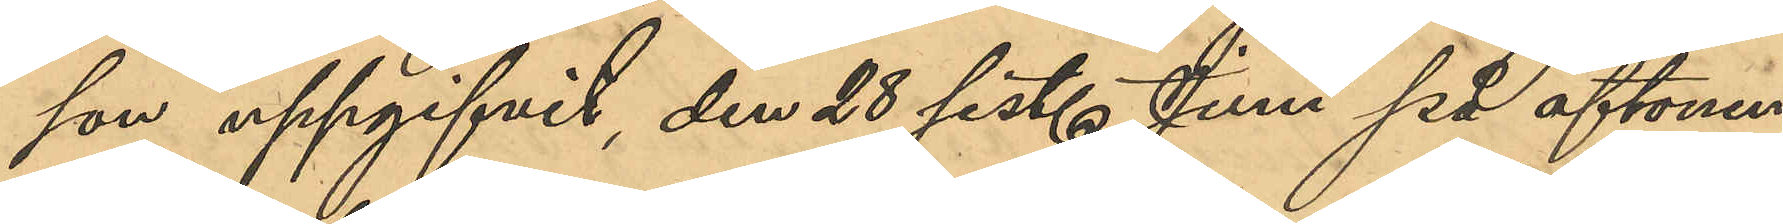osn uppgifvit, den 28 sist. Juni på aftonen
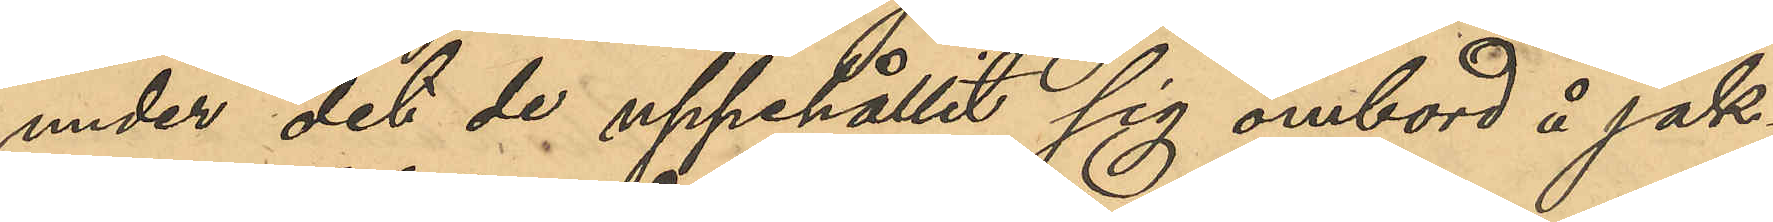under det de uppehållit sig ombord å jak¬
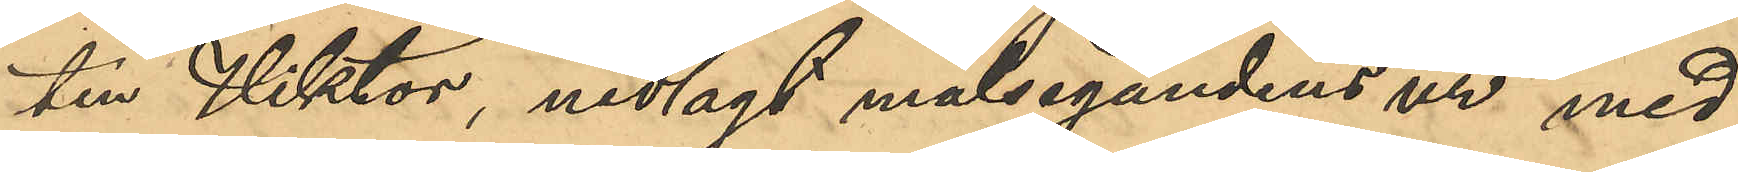ten Viktor, nedlagt målsegandens ur med
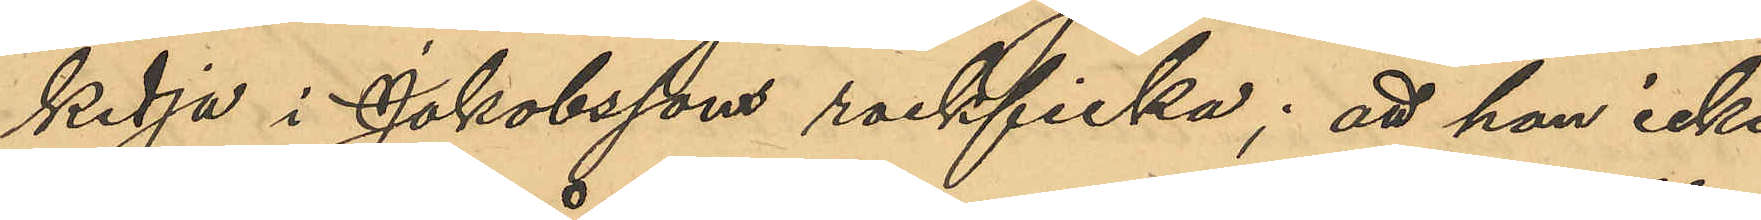kedja i Jakobssons rockficka; att han icke
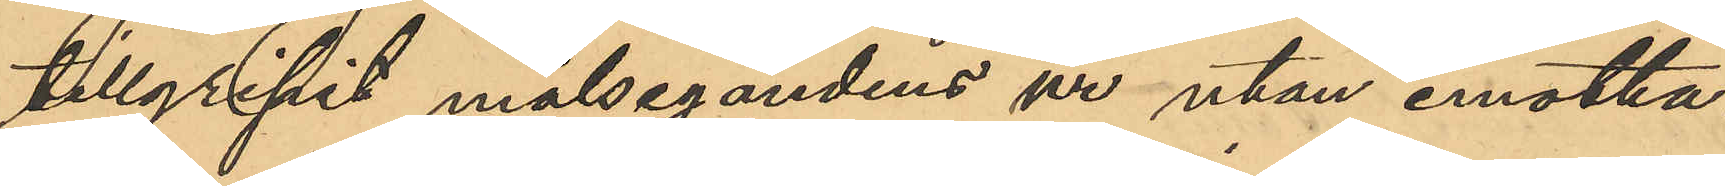tillgripit målsegandens ur utan emotta¬
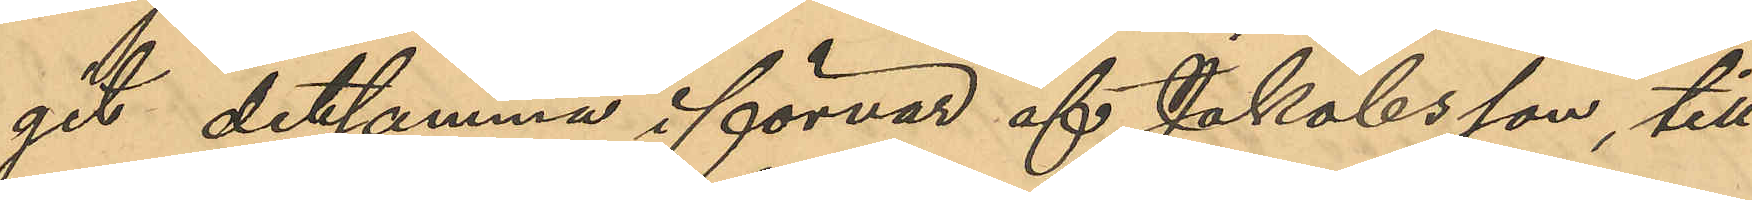git detsamma i förvar af Jakobsson, till
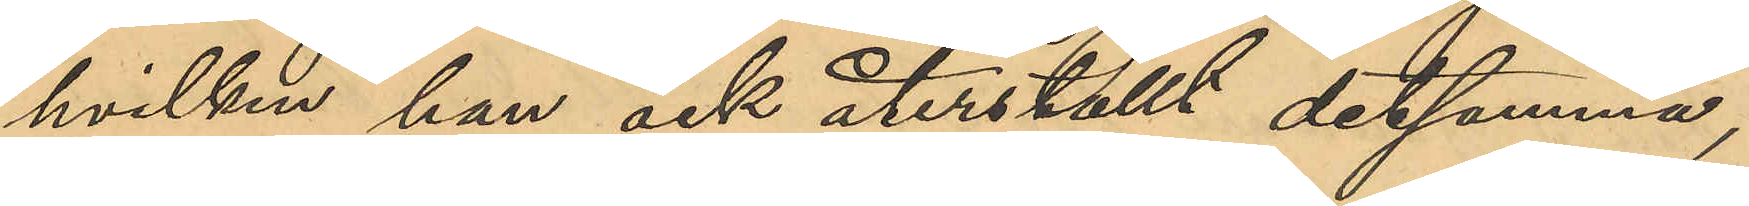hvilken han ock återställt detsamma; 
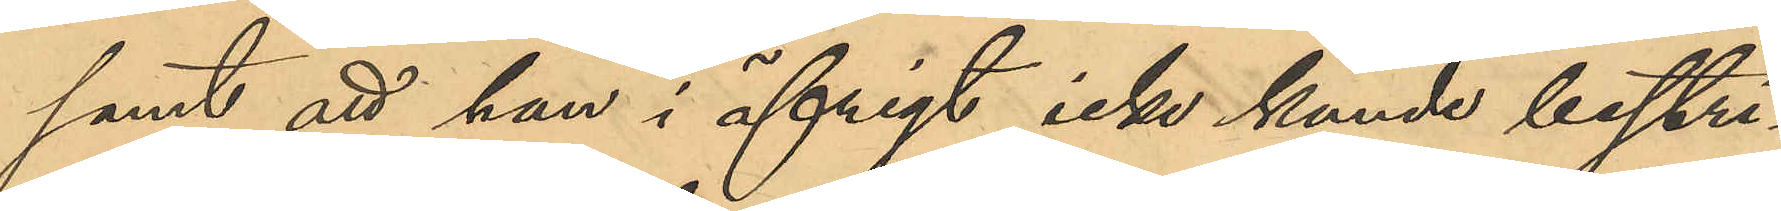samt att han i öfrigt icke kunde bestri¬
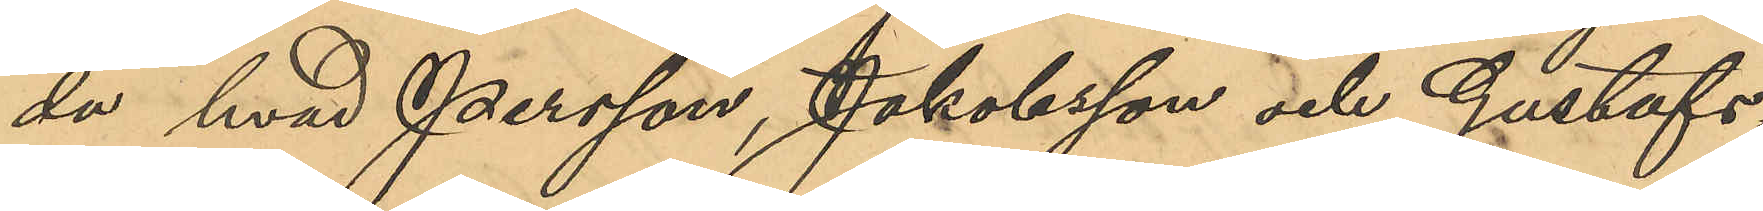da hvad Persson, Jakobsson och Gustafs¬
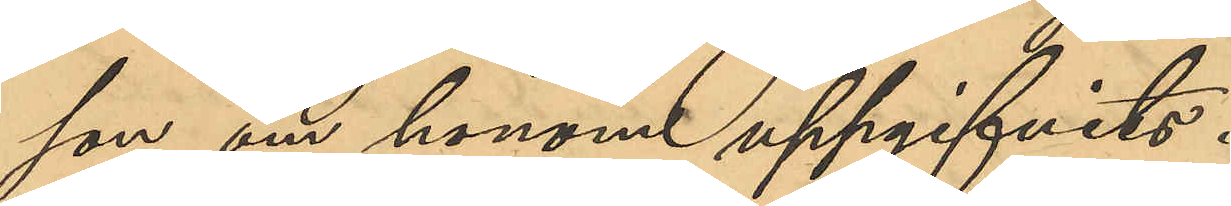son om honom uppgifvits.
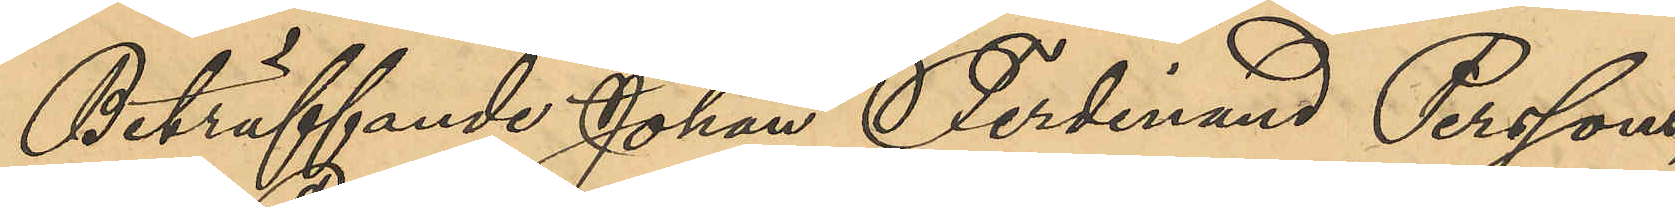Beträffande Johan Ferdinand Perssons,
